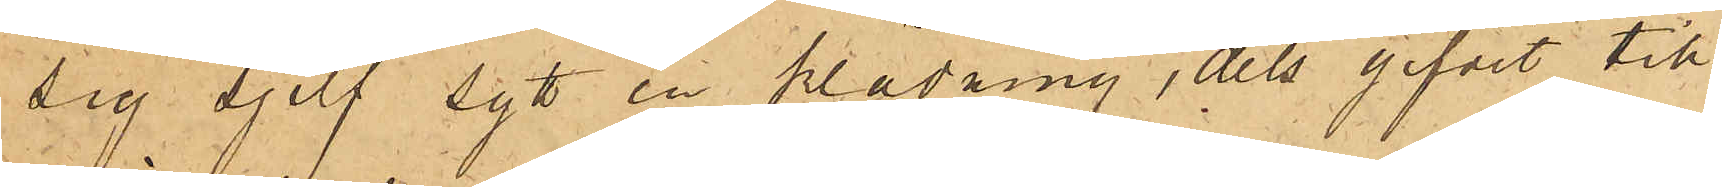sig sjelf sytt en klädning, dels gifvit till
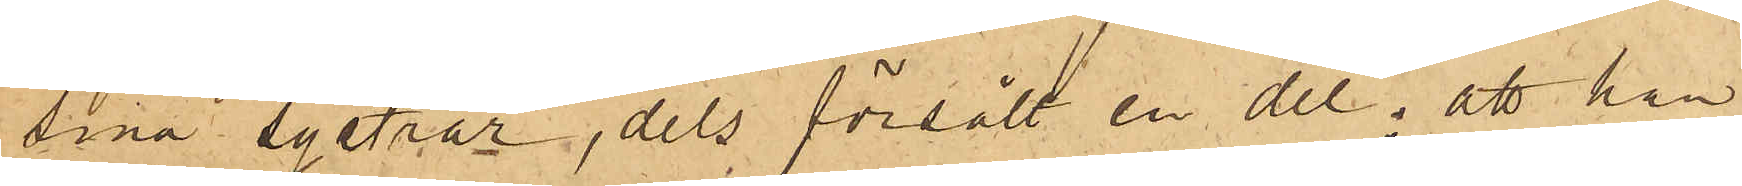sina systrar, dels försålt en del; att han
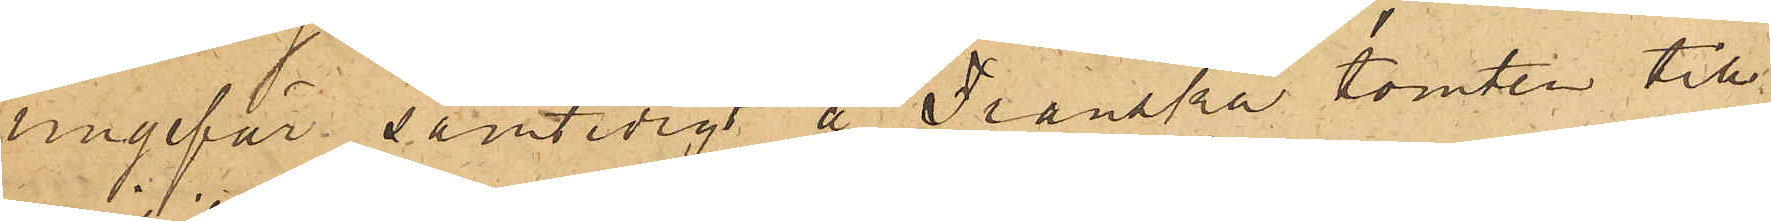ungefär samtidigt å Franska tomten till¬
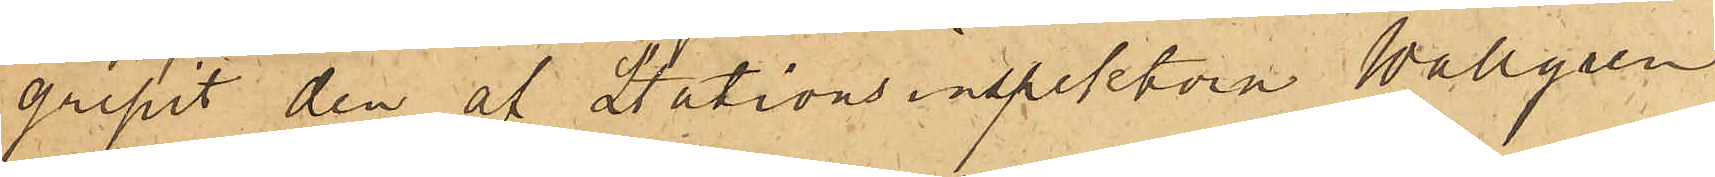gripit den af Stationsinspektorn Wallgren
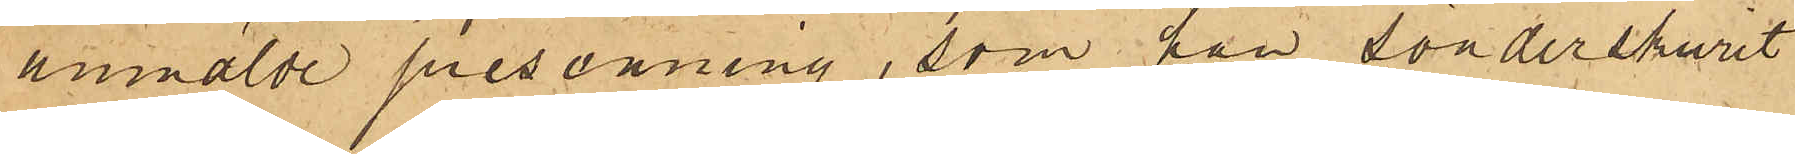anmälde presenning, som han sönderskurit
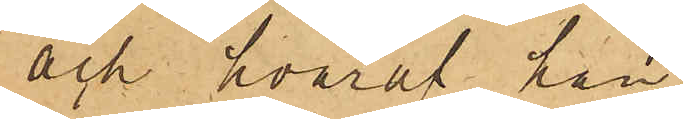och hvaraf han
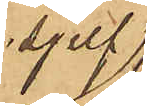sjelf
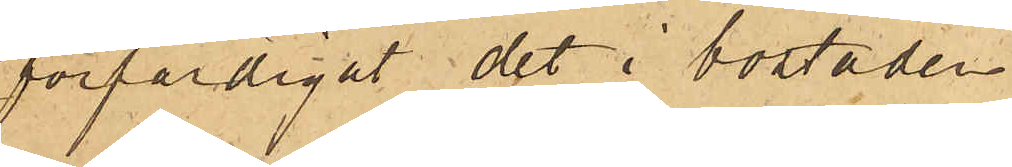förfärdigat det i bostaden
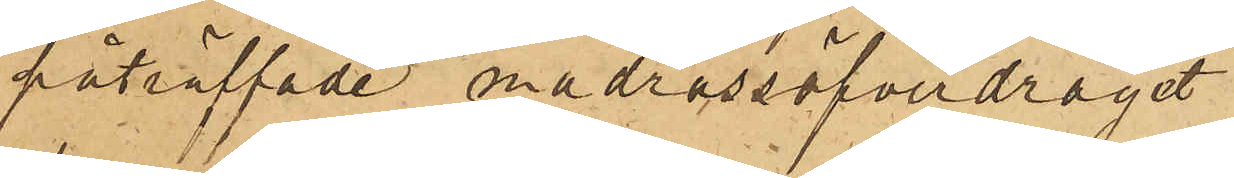påträffade madrassöfverdraget;
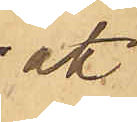att
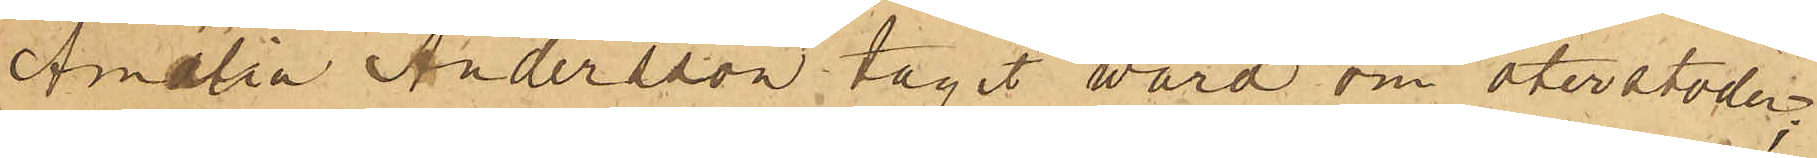Amalia Andersson tagit wård om återstoden;
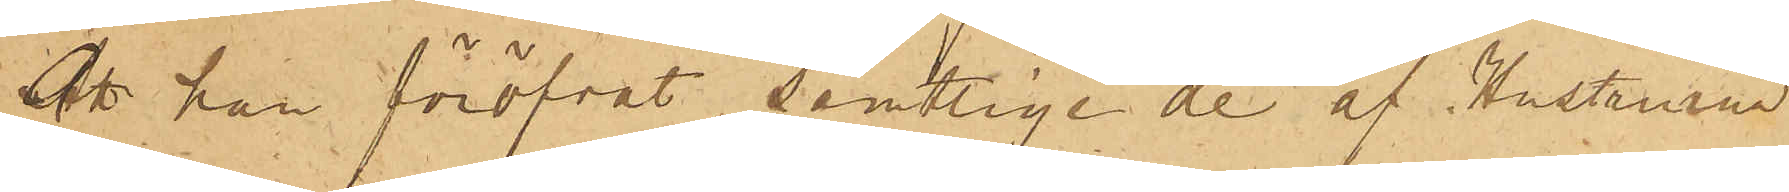att han föröfvat, samtlige de af Hustrun
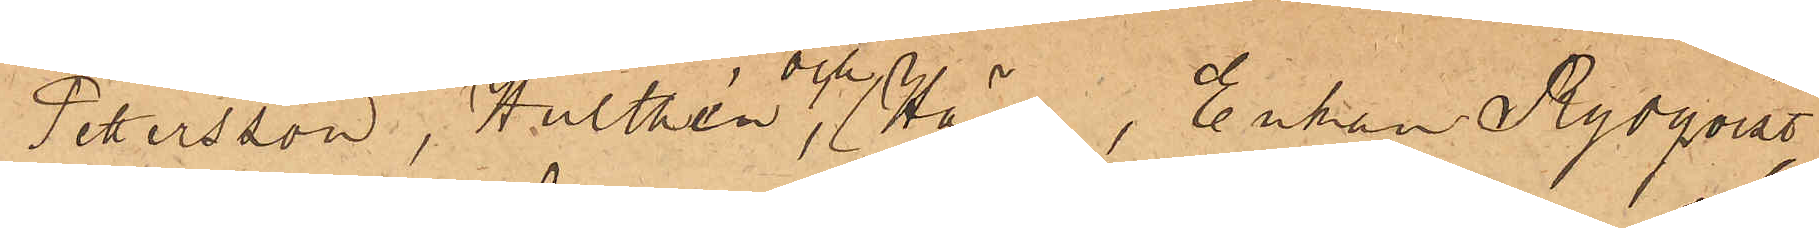Petersson, Hulthén  och  Hägg, Enkan Rydqvist,
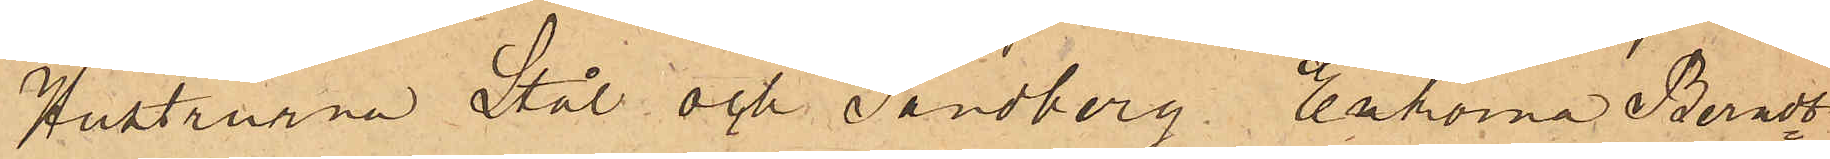Hustrurna Stål och Sandberg, Enkorna Berndt¬
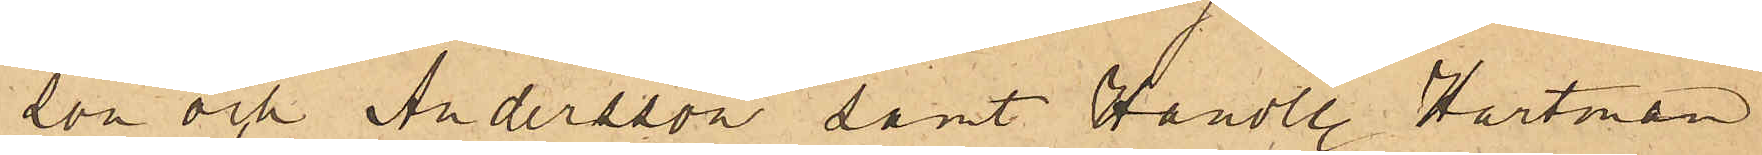son och Andersson samt Handl. Hartman
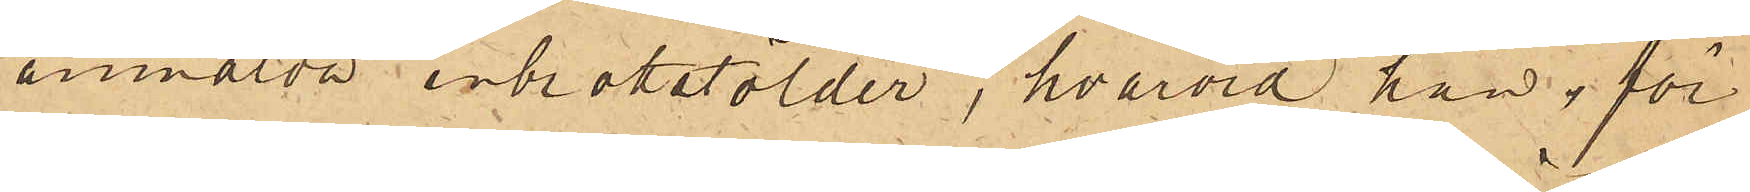anmälda inbrottstölder, hvarvid han för
